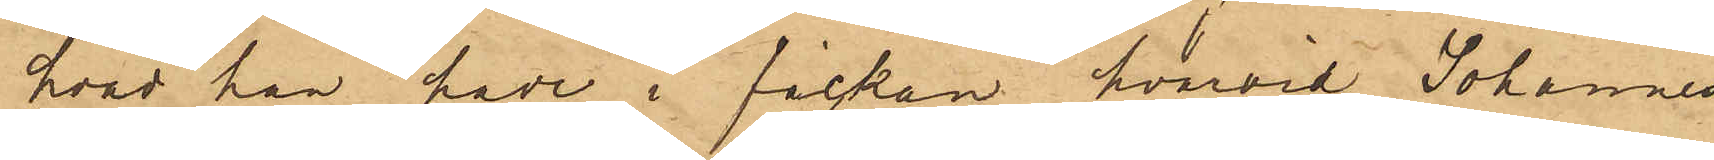hvad han hade i fickan, hvarvid Johannes
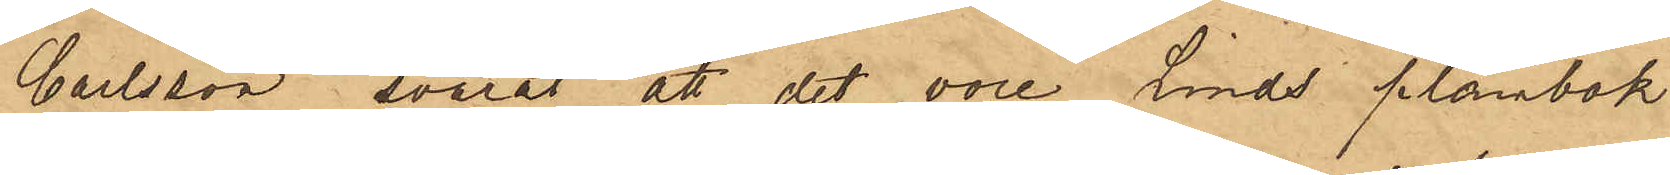Carlsson svarat att det vore Linds plånbok
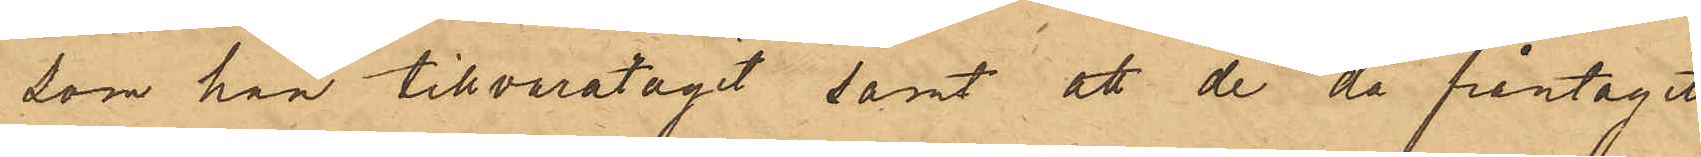som han tillvaratagit samt att de då fråntagit
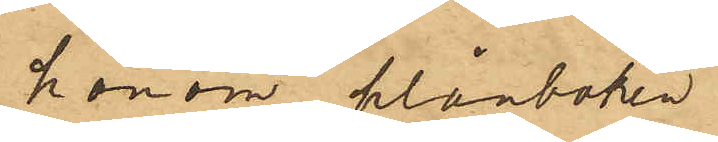honom plånboken.
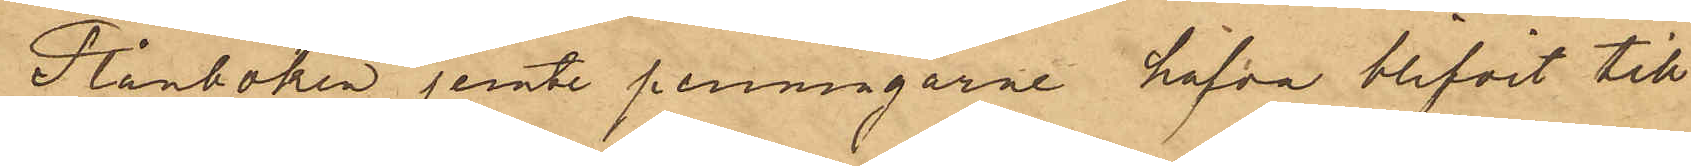Plånboken jemte penningarne hafva blifvit till
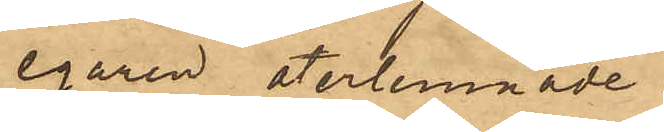egaren återlemnade.
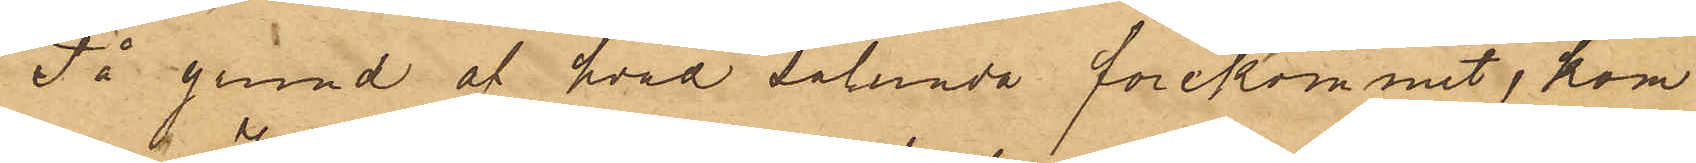På grund af hvad sålunda förekommit, kom¬
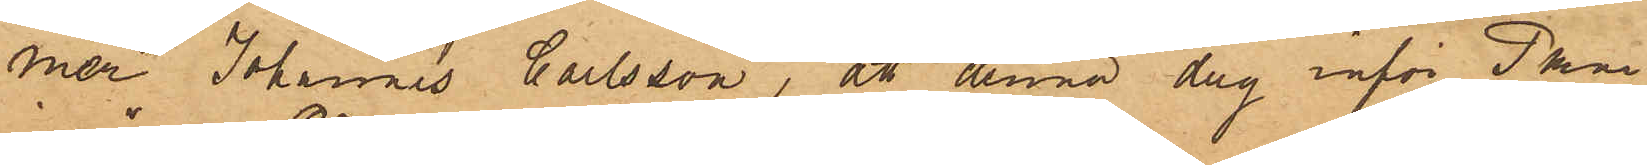mer Johannes Carlsson, att denna dag inför Pkm
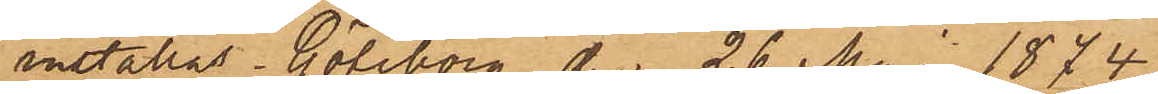inställas. Göteborg den 26 Mai 1874.
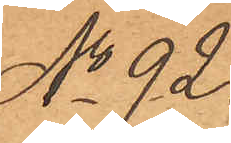No 92.
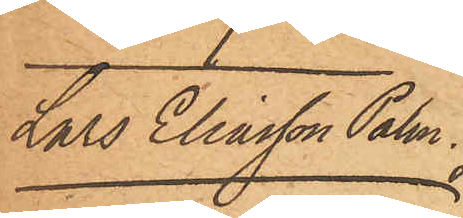Lars Eliasson Palm.
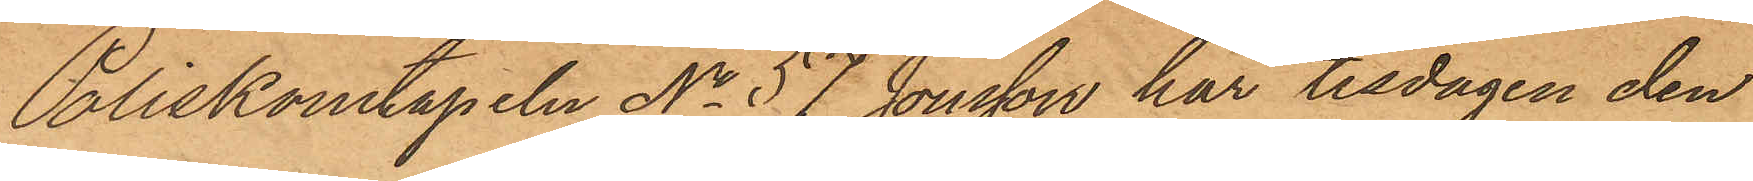Poliskonstapeln No 57 Jonsson har tisdagen den
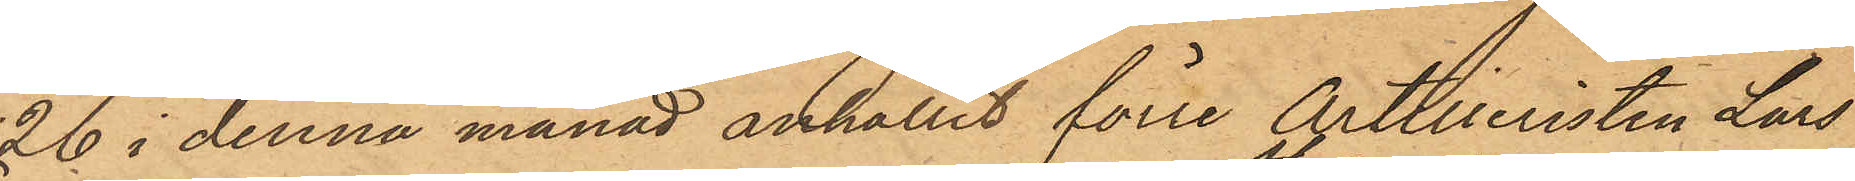26 i denna månad anhållit förre Artilleristen Lars
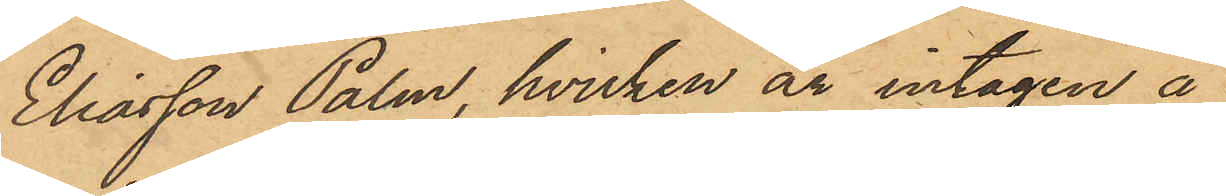Eliasson Palm, hvilken är intagen å
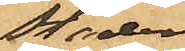stadens
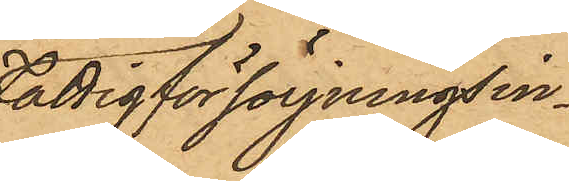Fattigförsörjningsin¬
